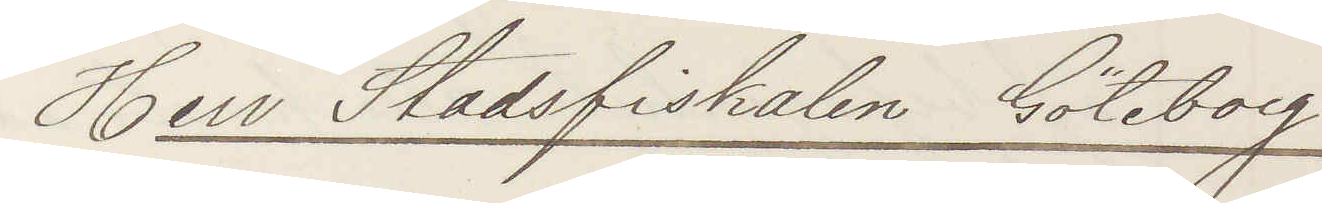Herr Stadsfiskalen Göteborg
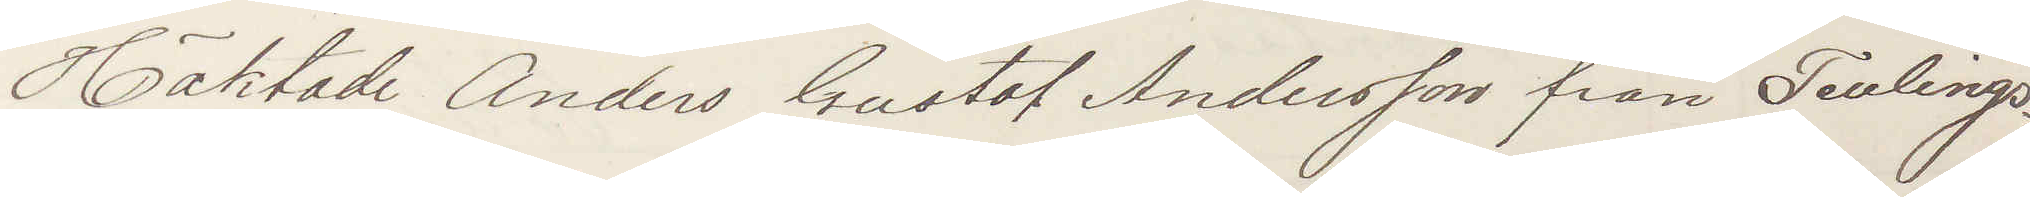Häktade Anders Gustaf Andersson från Tenlings¬
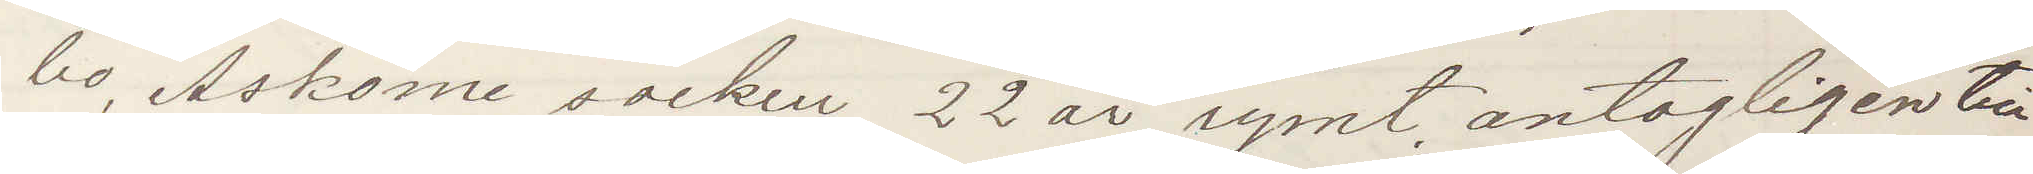bo, Askome socken 22 år, rymt antagligen till
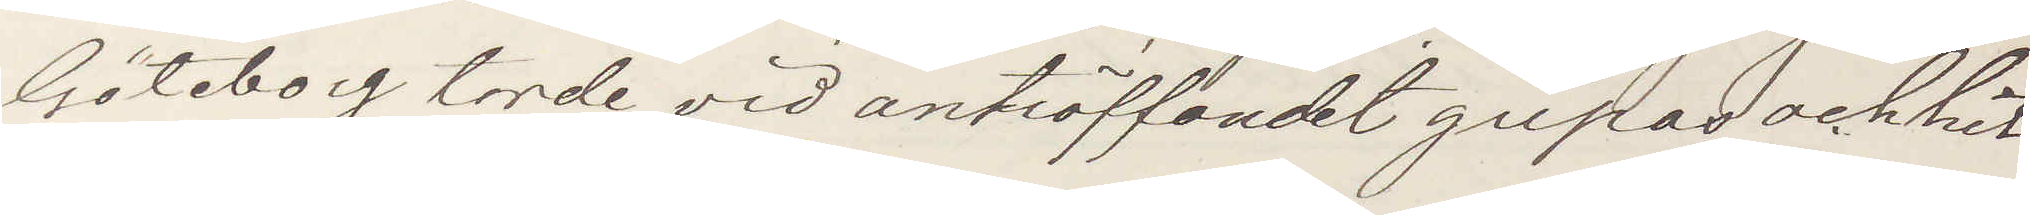Göteborg, torde vid anträffandet gripas och hit¬
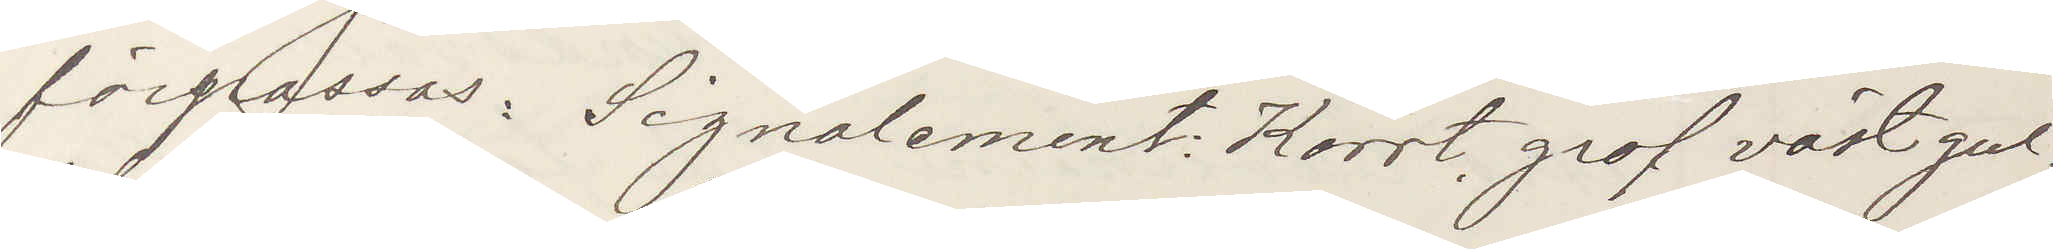förpassas: Signalement: Korrt, grof växt gul¬
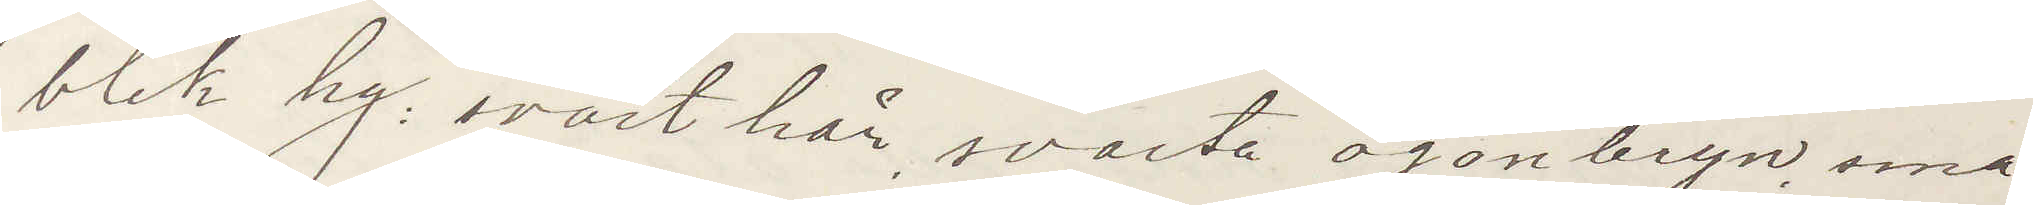blek hy: svart hår, svarta ögonbryn, små
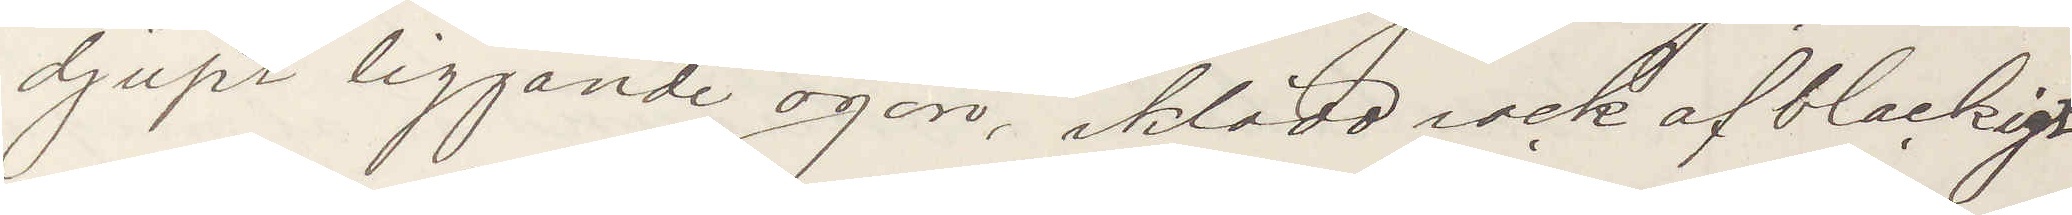djupt liggande ögon, iklädd rock af blackigt
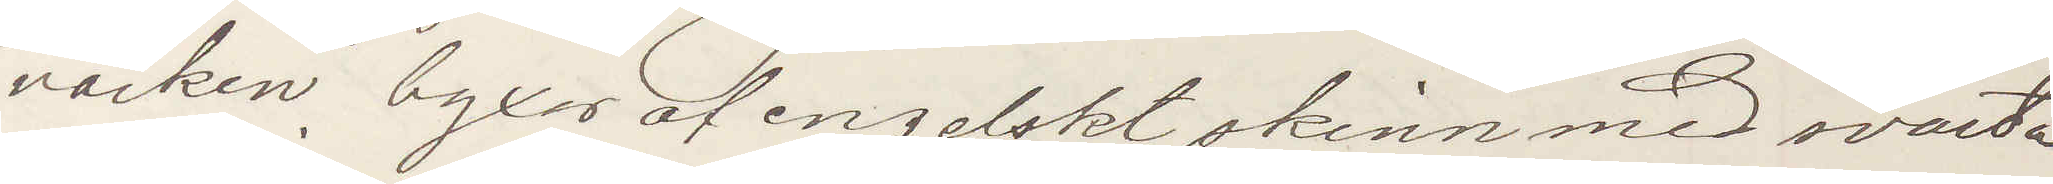värken byxor af engelskt skinn med svarta
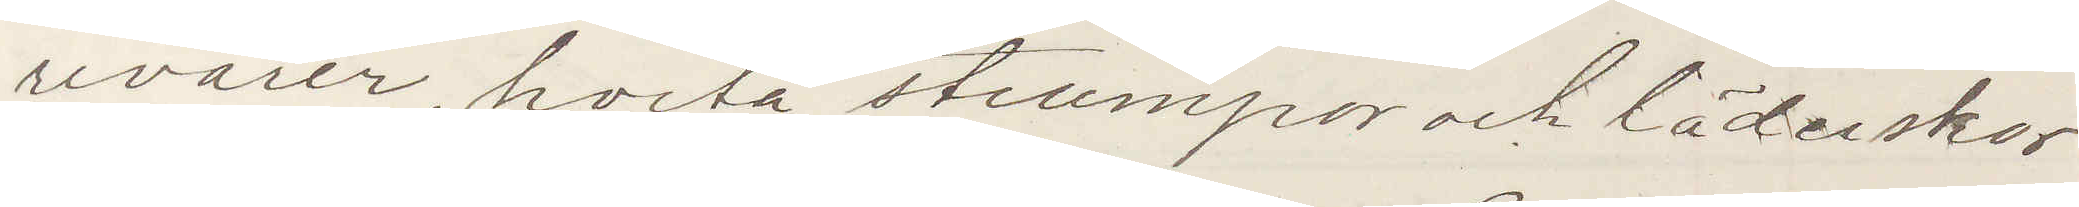revärer, hvita strumpor och läderskor
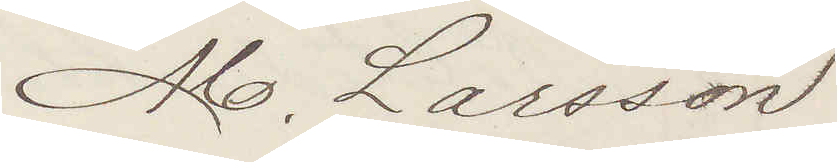M. Larsson
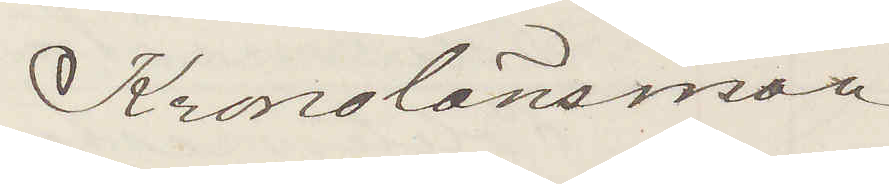Kronolänsman
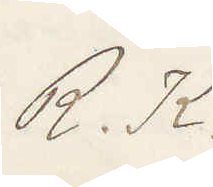R. K.
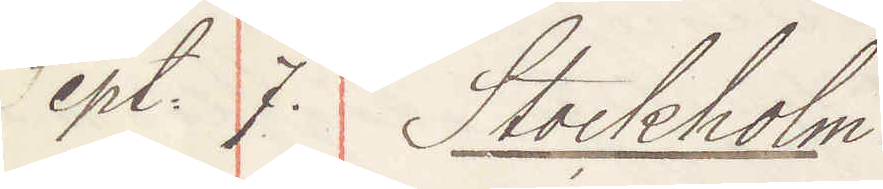Sept. 7. Stockholm:
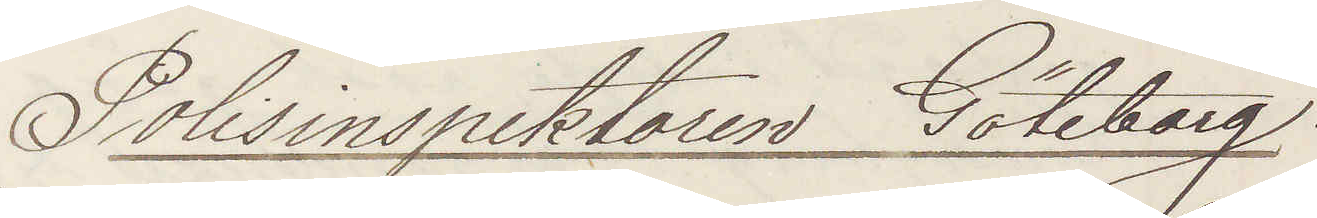Polisinspektoren Göteborg:
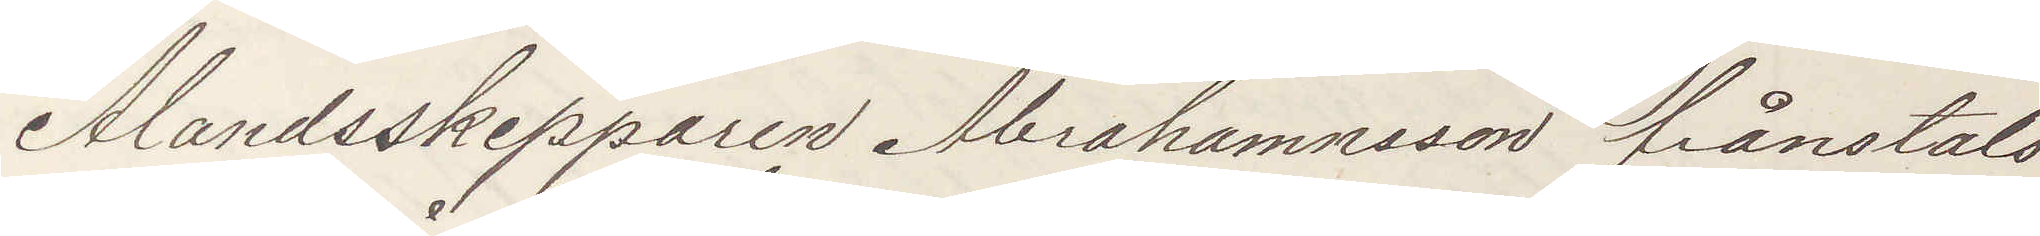Ålandsskepparen Abrahamsson frånstals
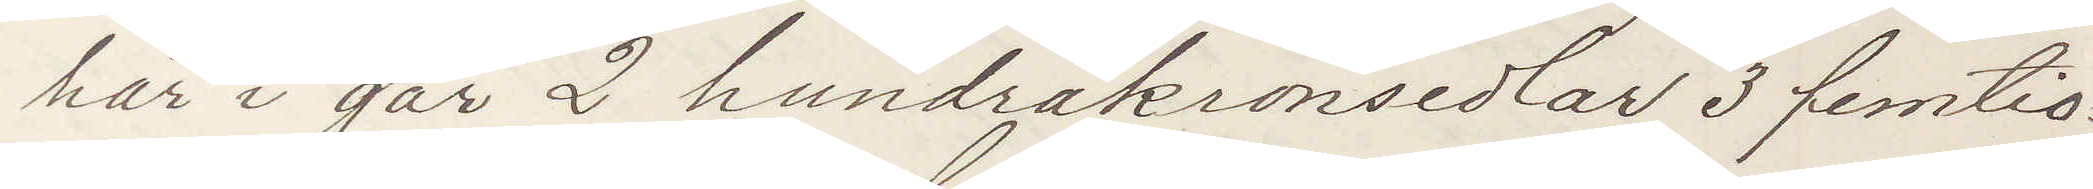här i går 2 hundrakronsedlar 3 femtio¬
